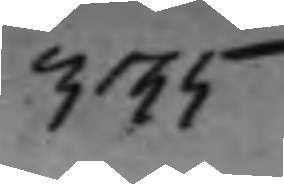335
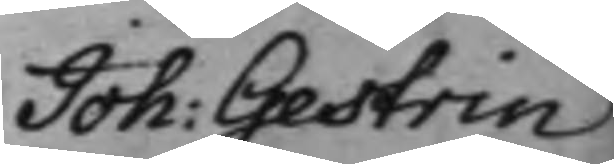Joh: Gestrin
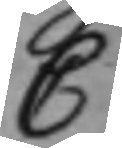C
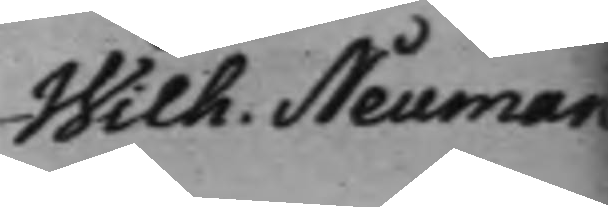Wilh. Neuman
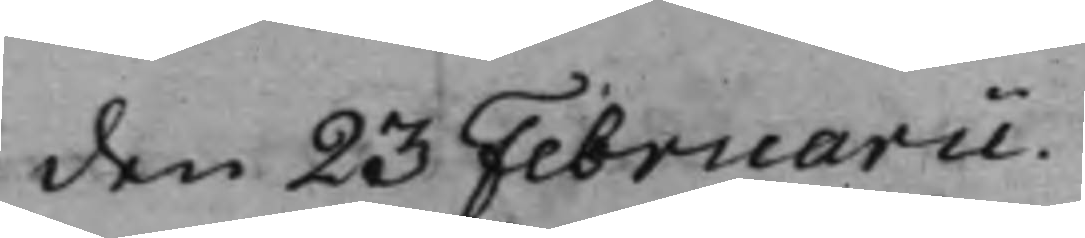den 23 Februarii
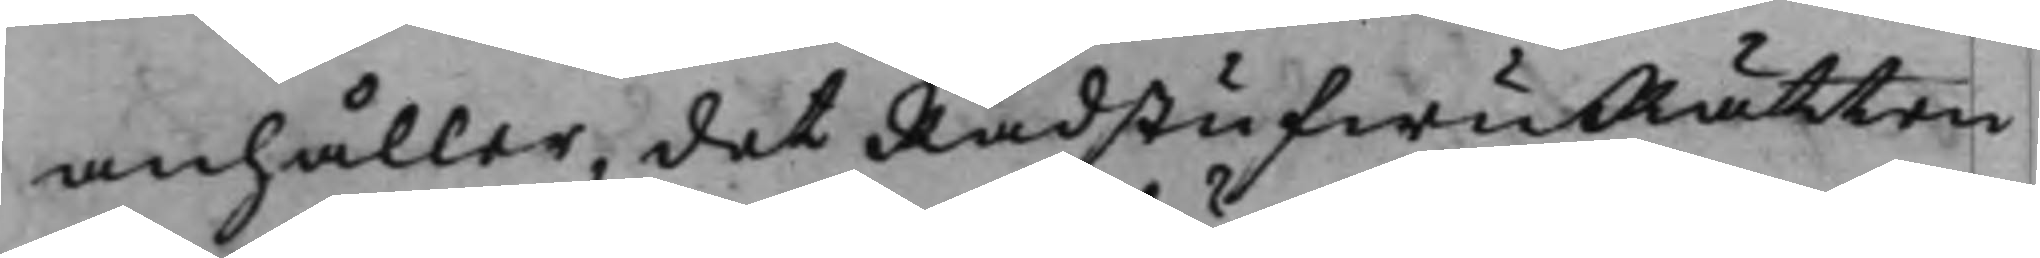anhåller, det RådstufwuRätten
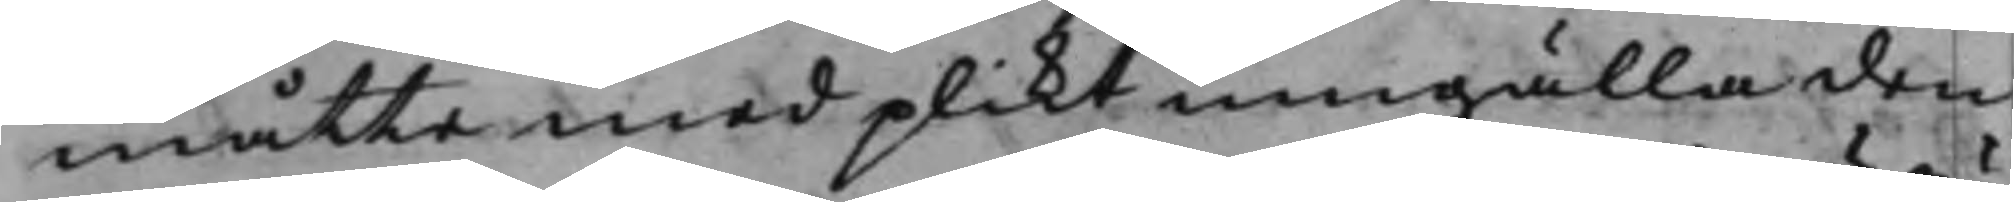måtte med plikt umgälla den
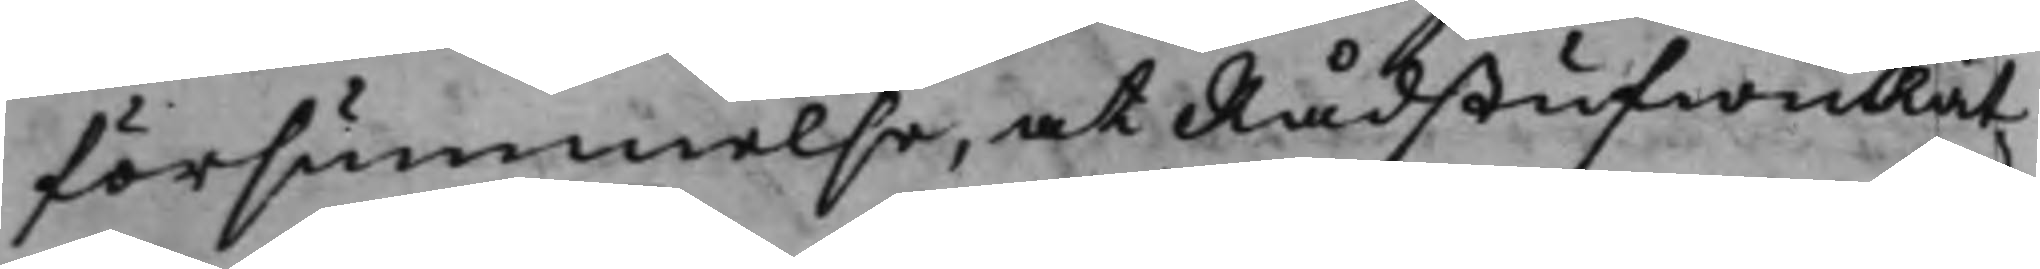försummelse, at RådstufwuRät¬
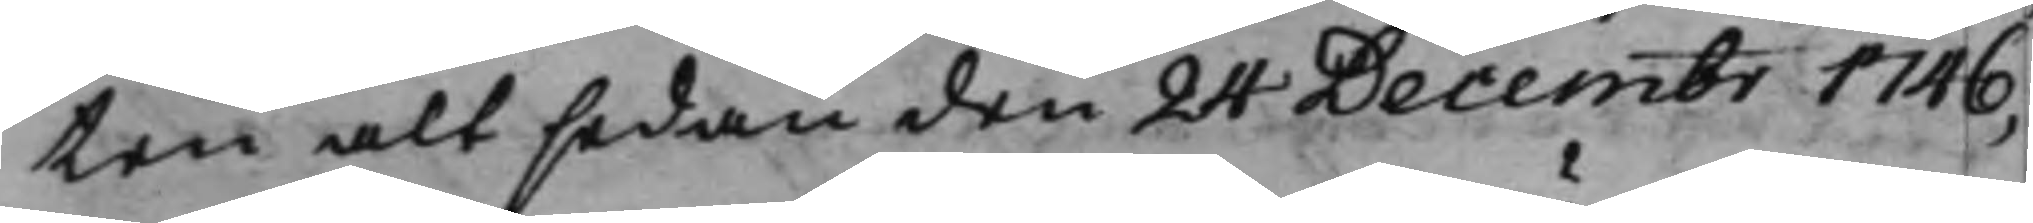ten altsedan den 24 Decembr 1746,
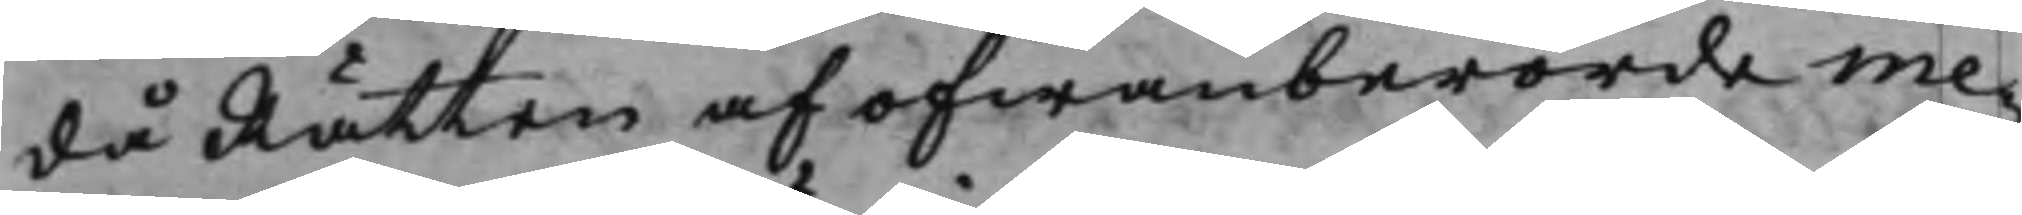då Rätten af ofwanberörde me¬
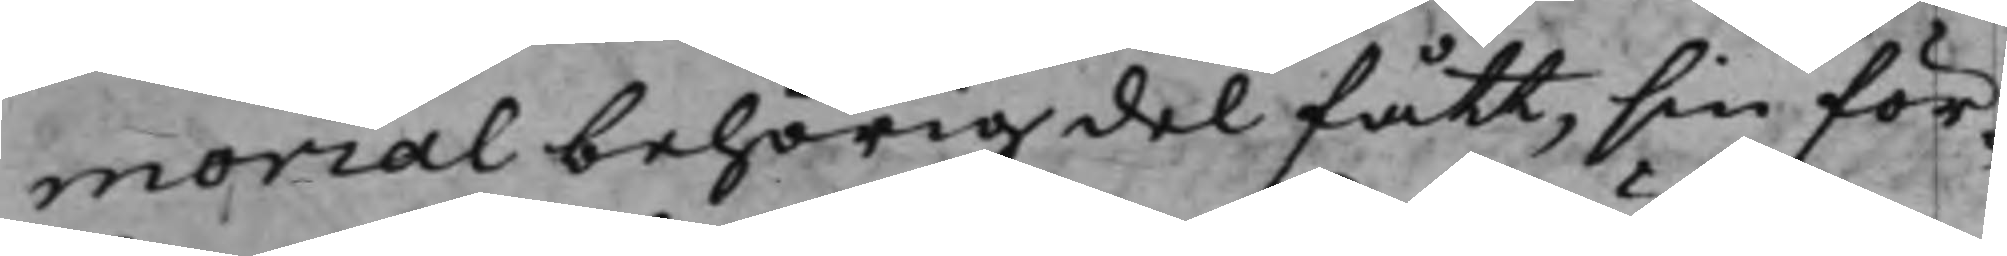morial behörig del fått, sin för¬
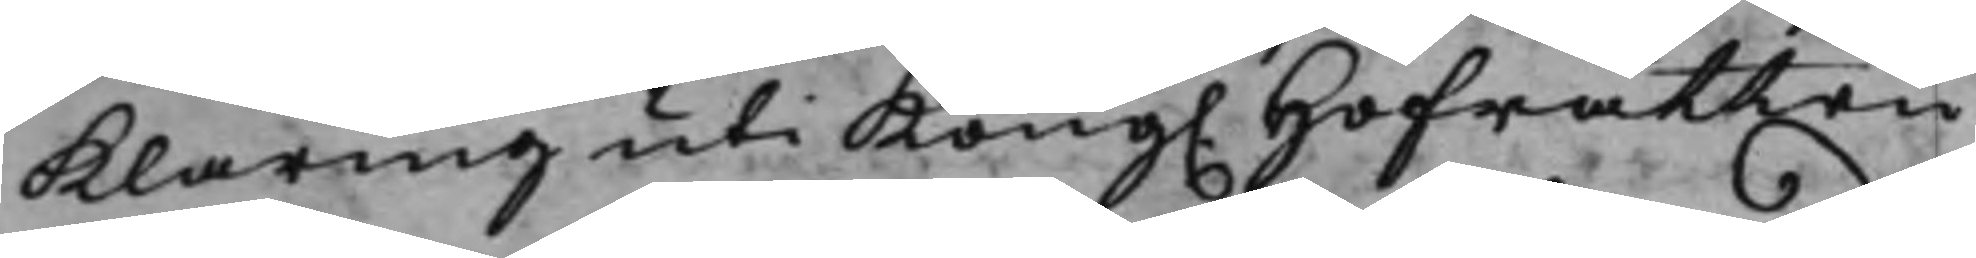klaring uti Kong. Hofrätten
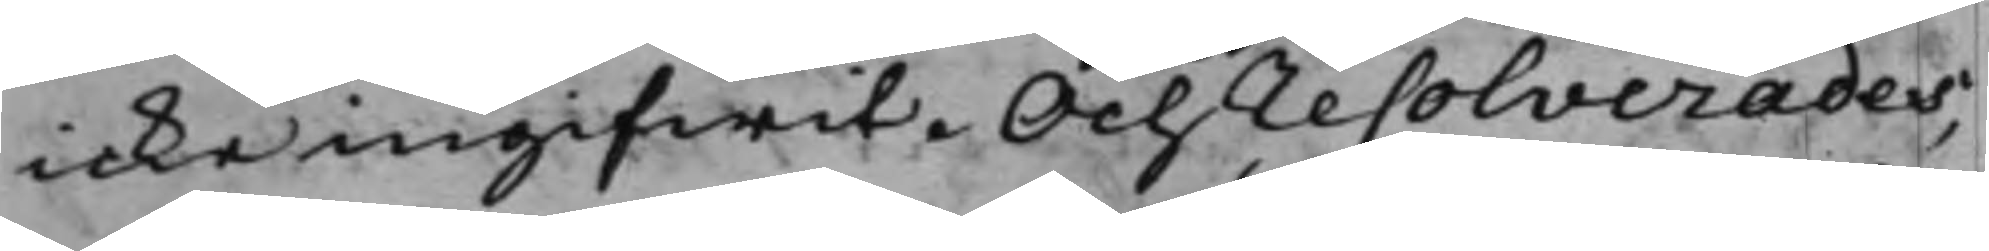icke ingifwit. Och resolverades,
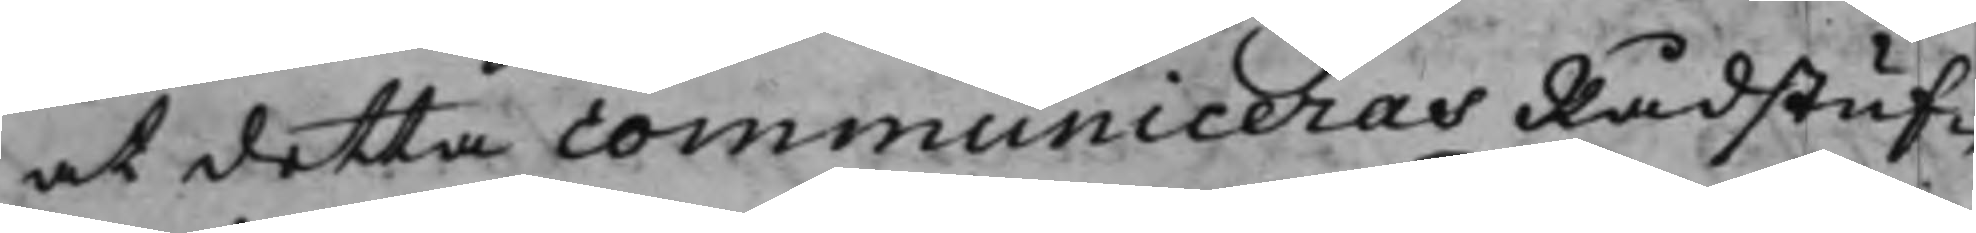at detta communiceras Rådstuf¬
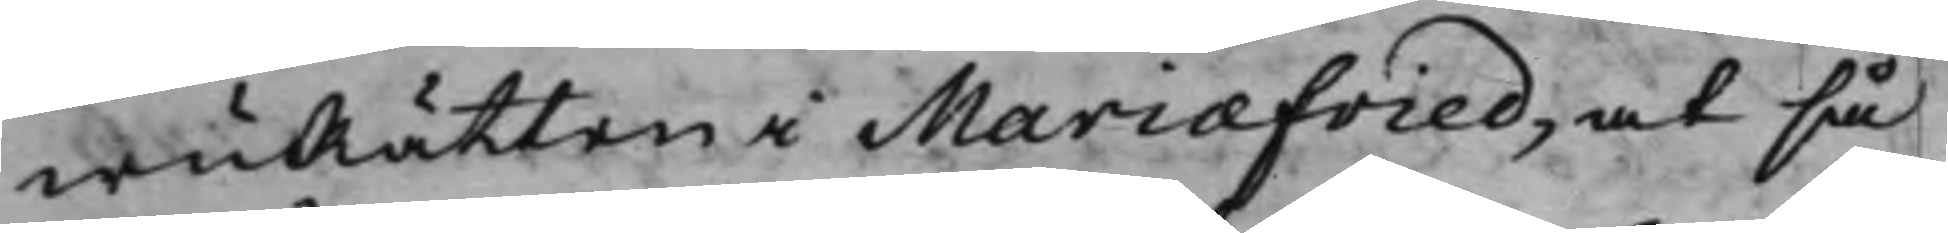wuRätten i Mariæfried, at så
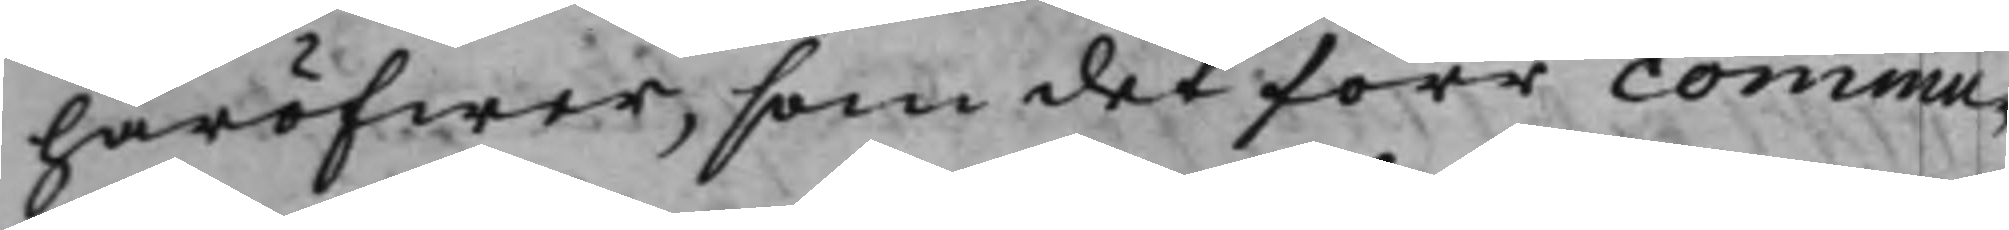häröfwer, som det förr commu¬
